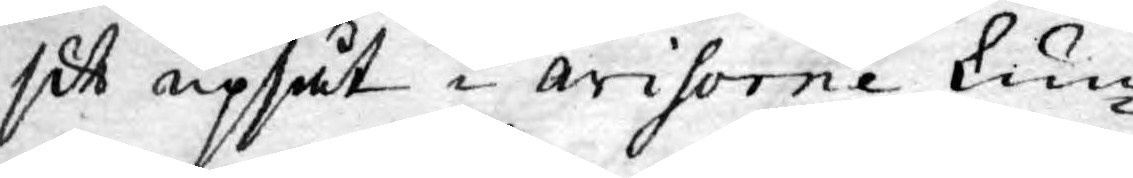sitt upsåt i avisorne kun¬
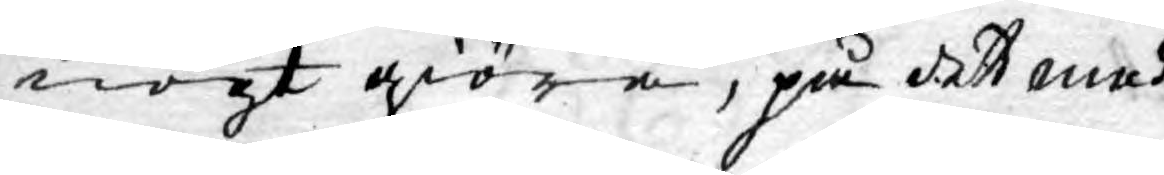nogt giöra, på dett med
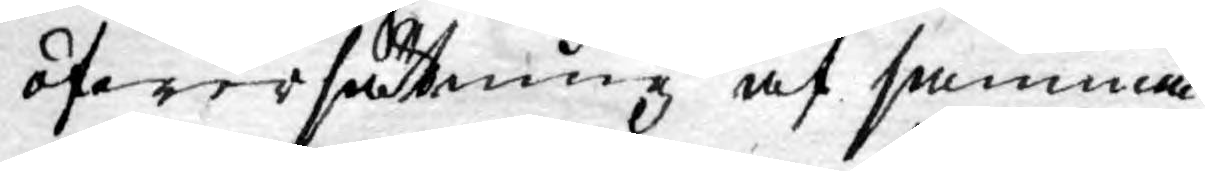öfwersättning af samma
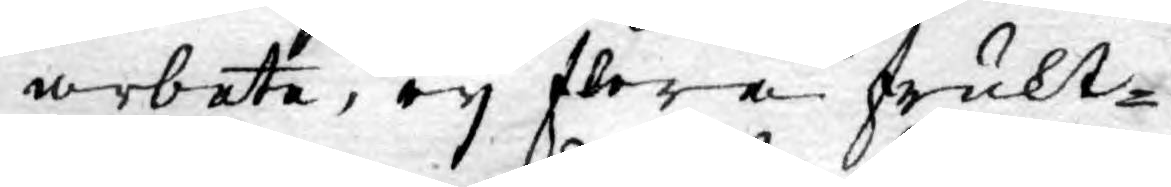arbete, ey flera frukt¬
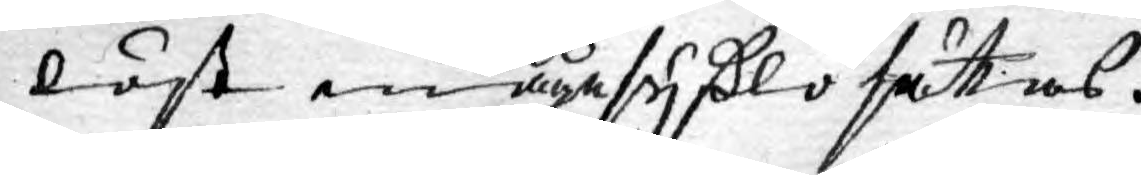löst enågesyßlo sättas.
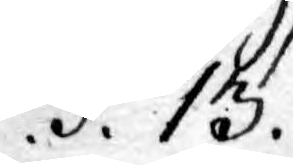.§.13.
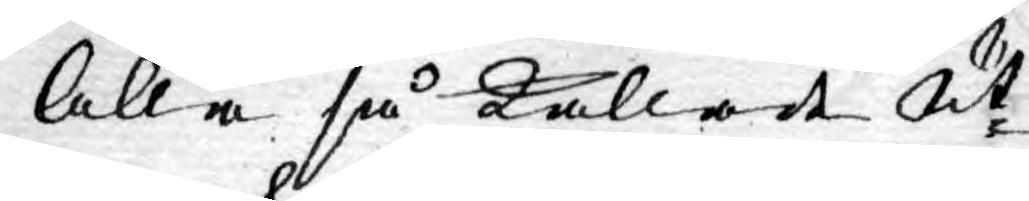Alla så kallade Ut¬
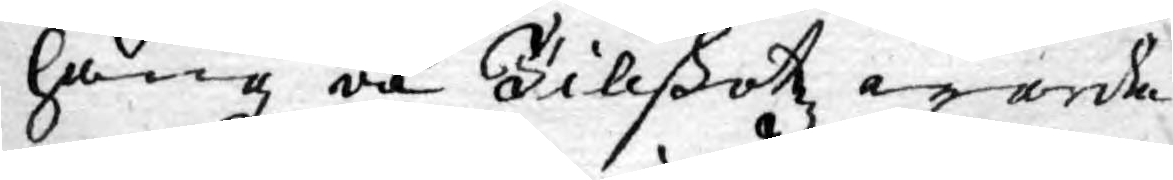häng och Tillskotz warda
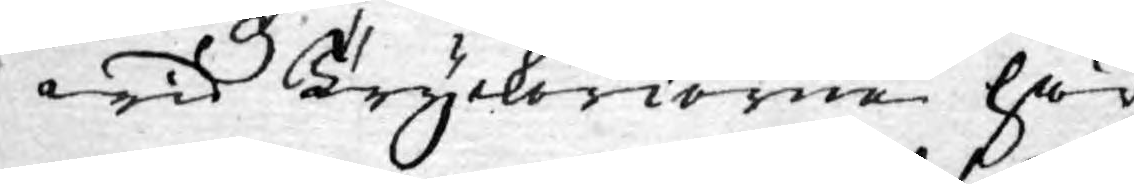wid Tryckerierne här
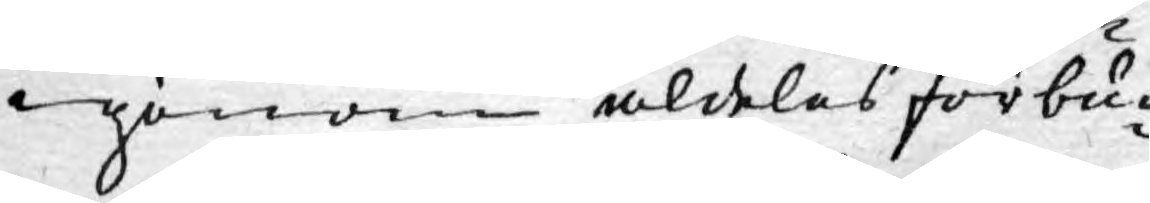igenom aldeles förbu¬
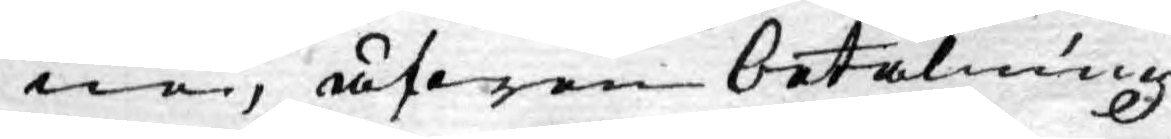ne, äfwen betalning
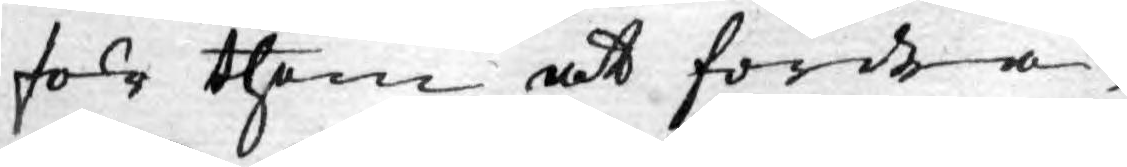för them at fordra,
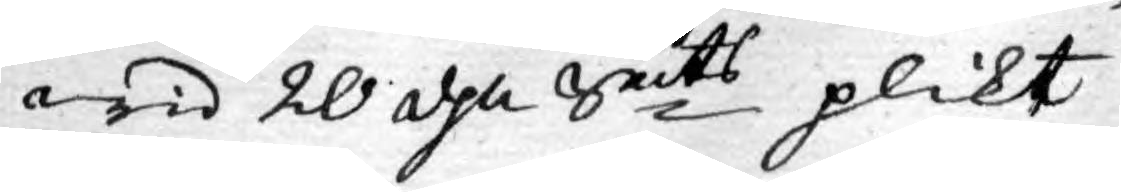wid 20 dhl Smts plikt.
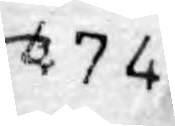474
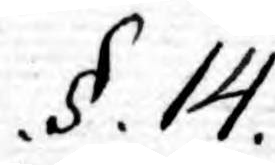.§.14.
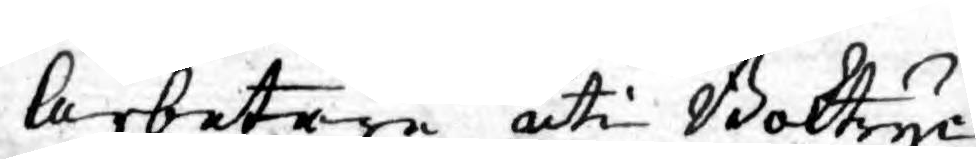Arbetare uti Boktryc¬
